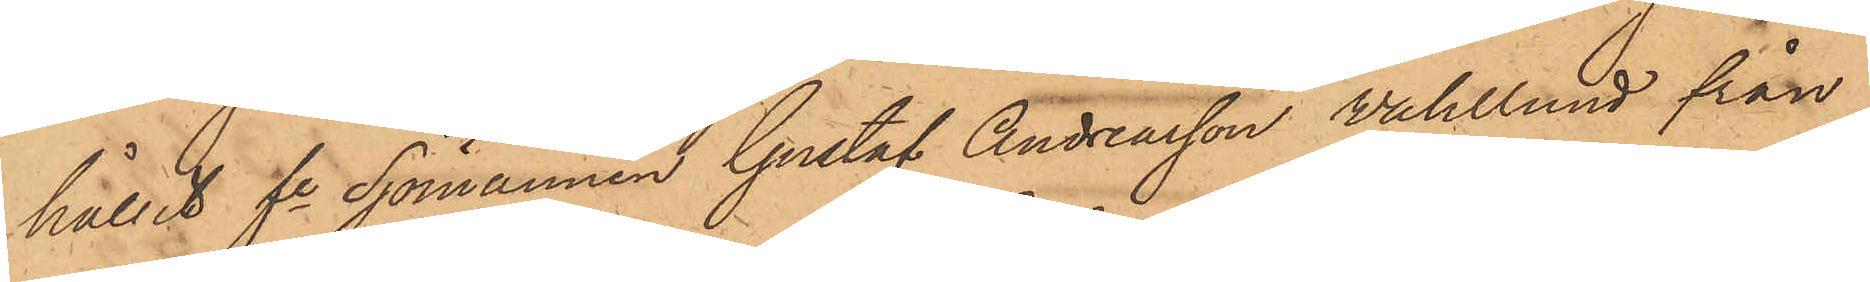hållit fre Sjömannen Gustaf Andreasson Wahlund från
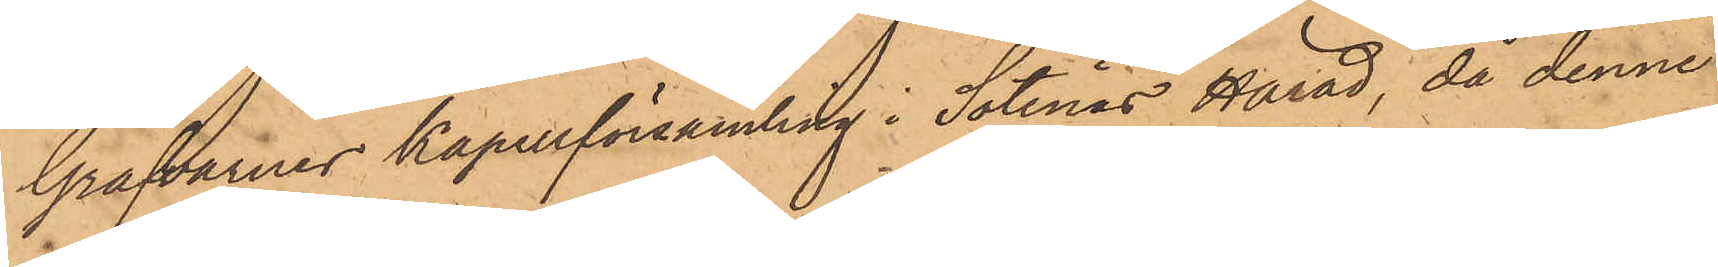Grafvarnes Kapellförsamling i Sotenäs Härad, då denne
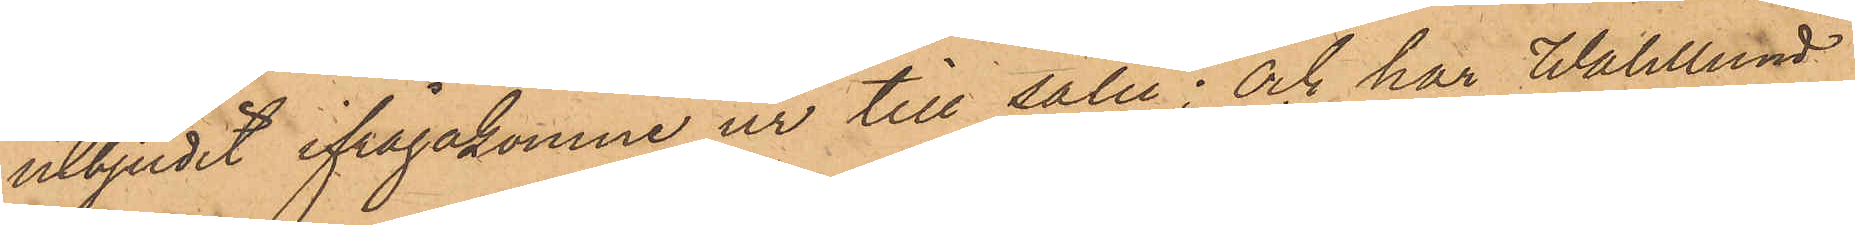utbjudit ifrågakomne ur till salu; och har Wahlund
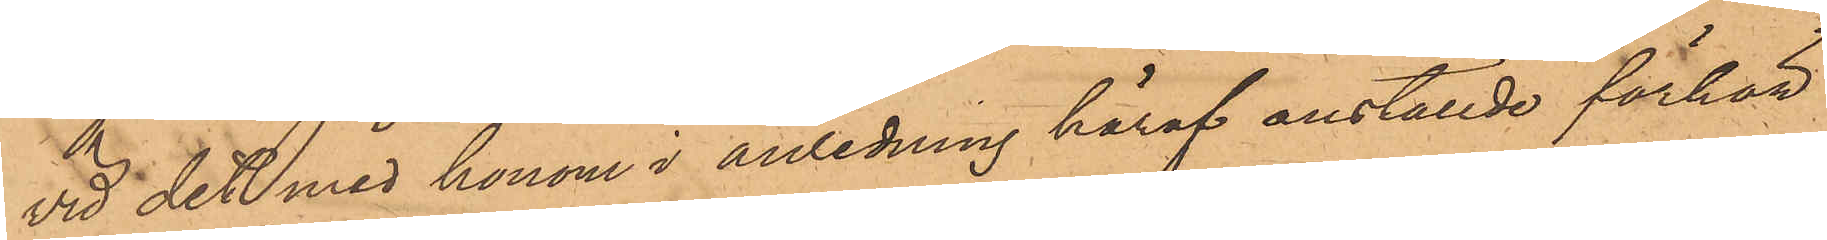vid det med honom i anledning häraf anställde förhör
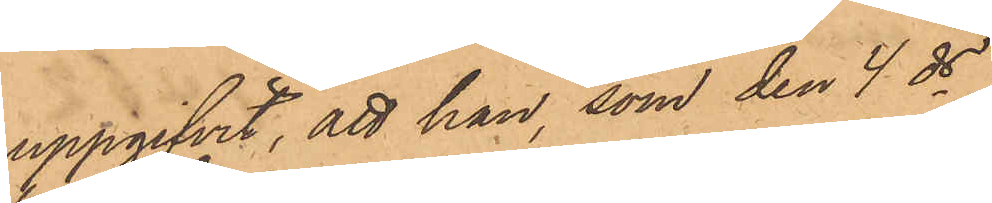uppgifvit, att han, som den 4 ds
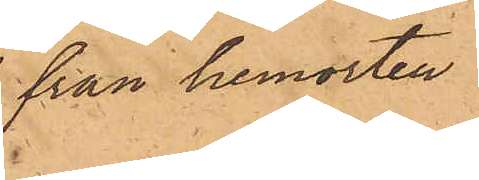från hemorten
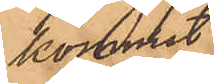kommit
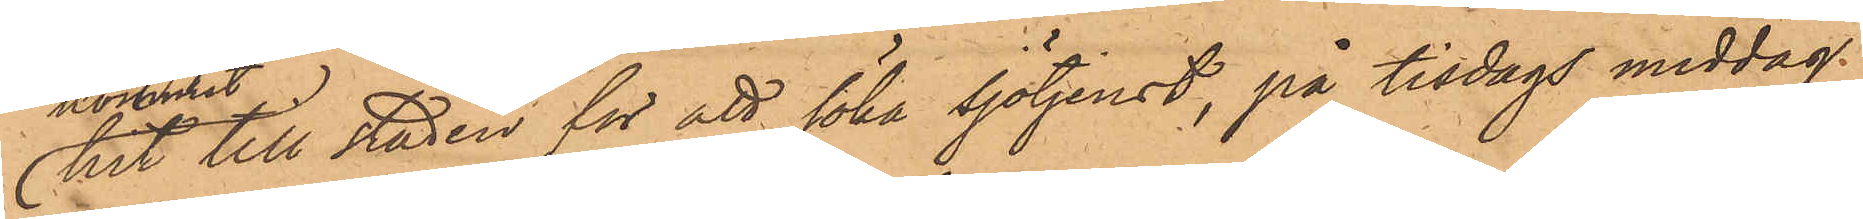hit till Staden för att söka sjötjenst, på tisdags middag
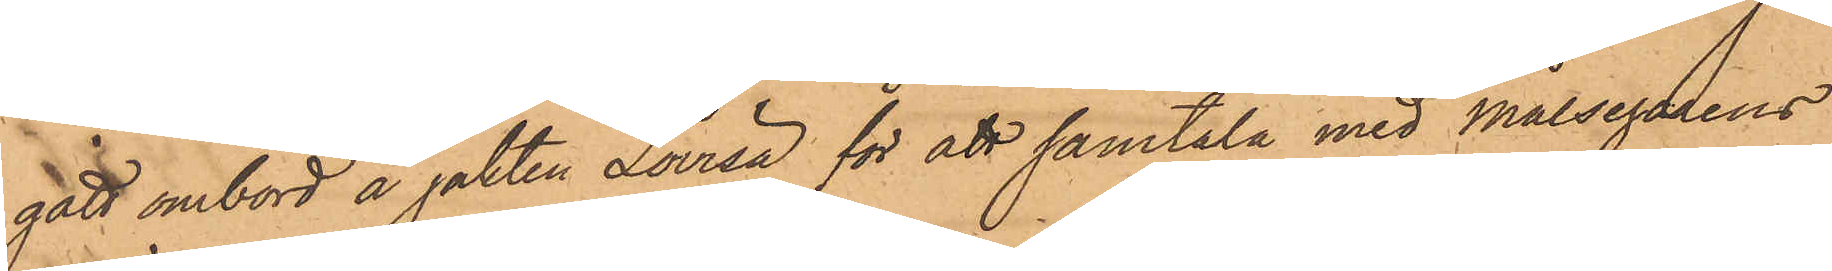gått ombord å jakten Lovisa för att samtala med målsegarens
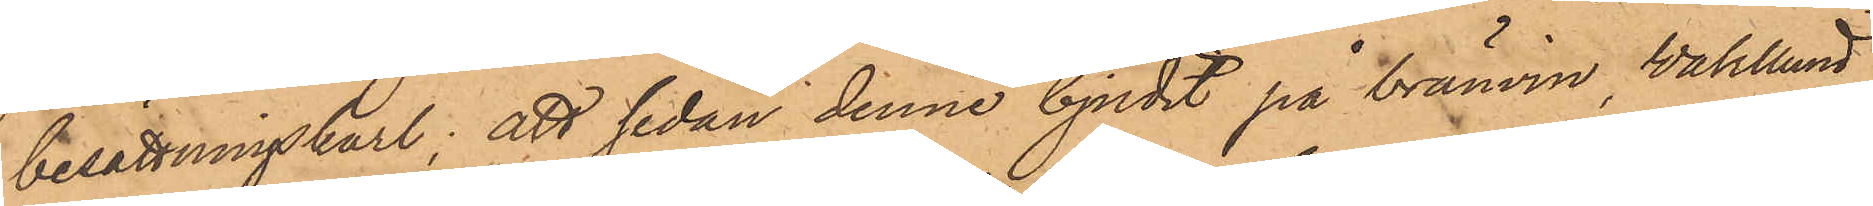besättningskarl; att sedan denne bjudit på bränvin Wahlund
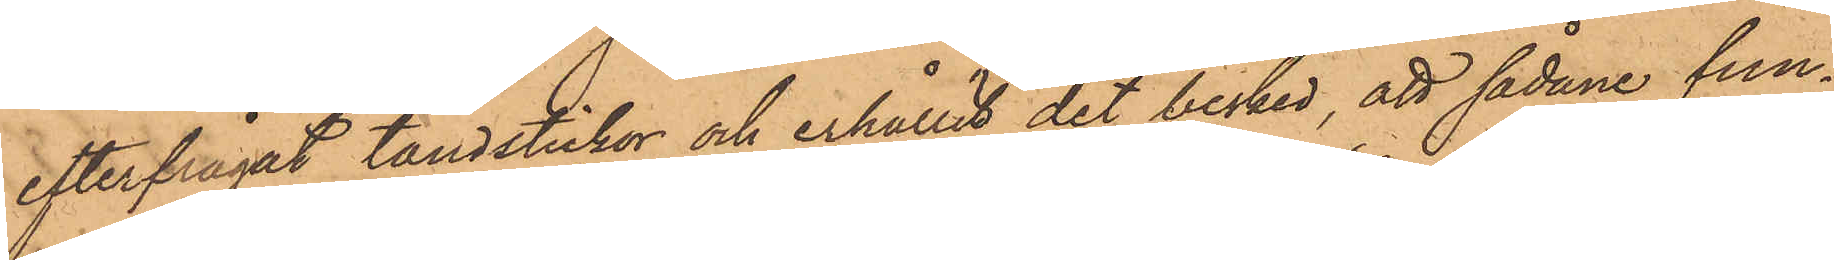efterfrågat tändstickor och erhållit det besked, att sådane fun¬
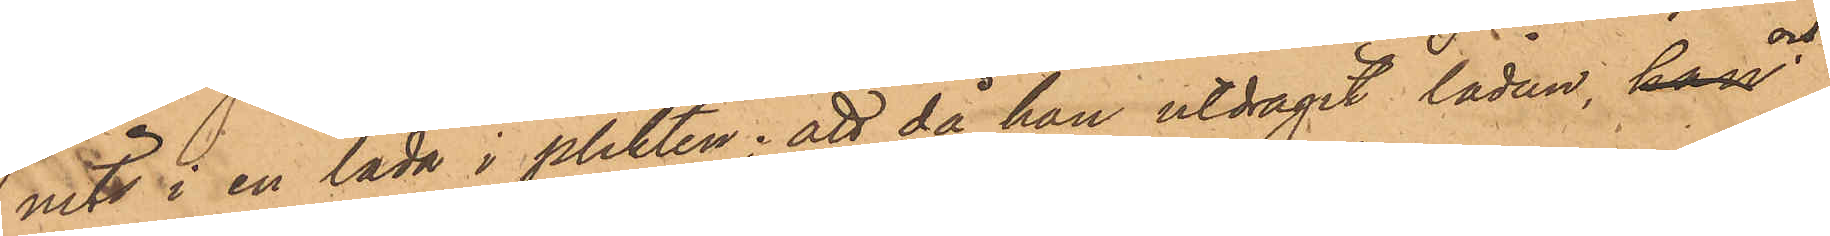nits i en låda i plikten; att då han utdragit lådan och
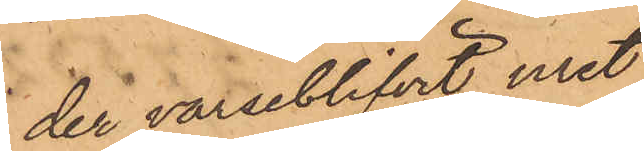der varseblifvit uret,
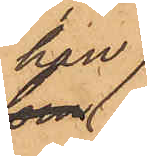han
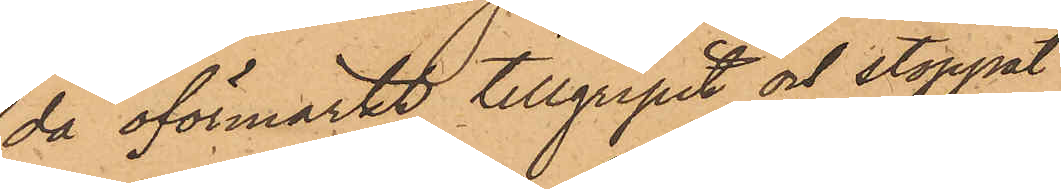då oförmärkt tillgripit och stoppat
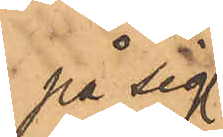på sig
